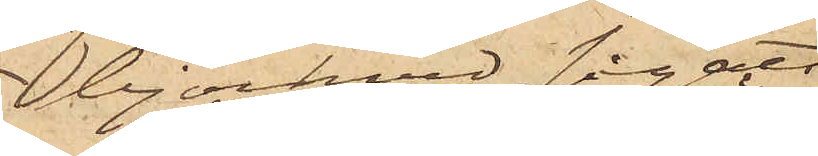björkved legat
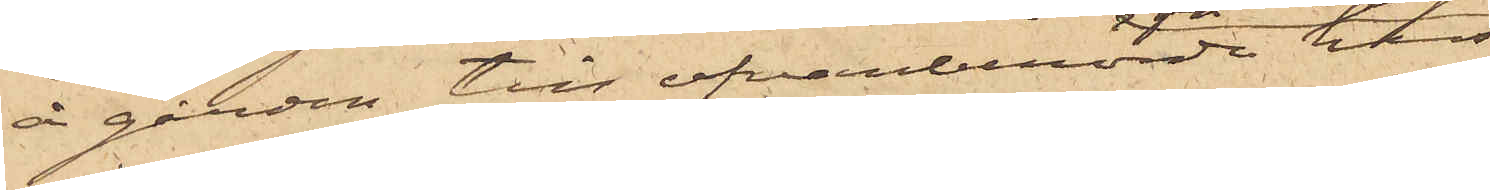å gården till ofvanberörde hus
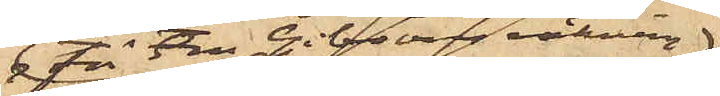för Fru Gibsons räkning,
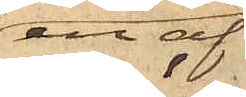en af
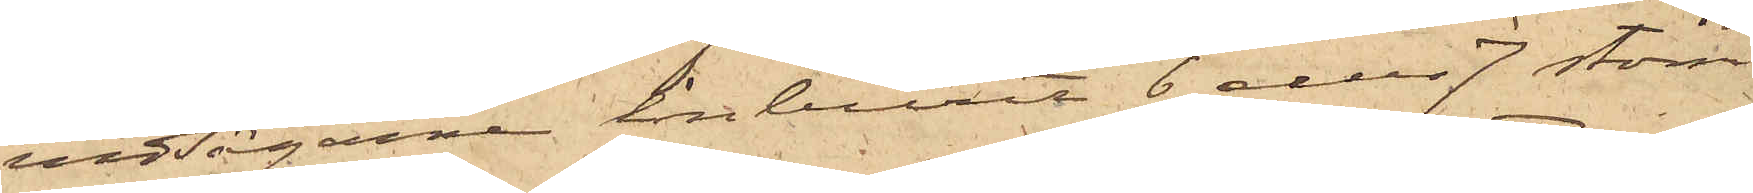vedsågarna inburit 6 eller 7 större
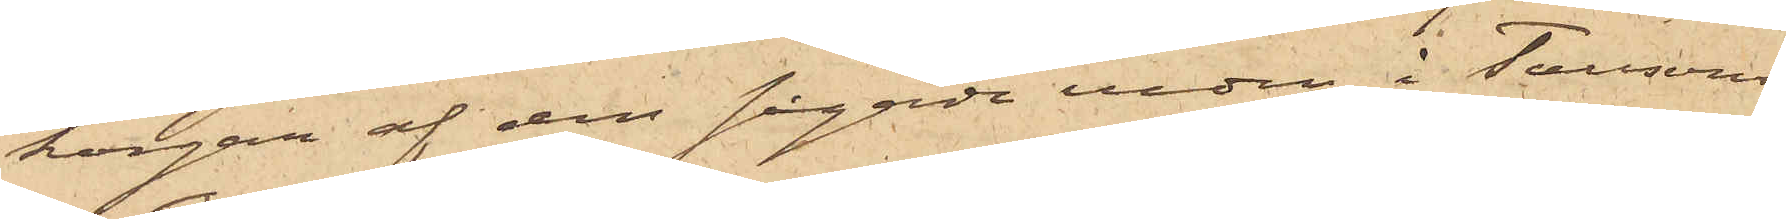korgar af den sågade veden i Taussons
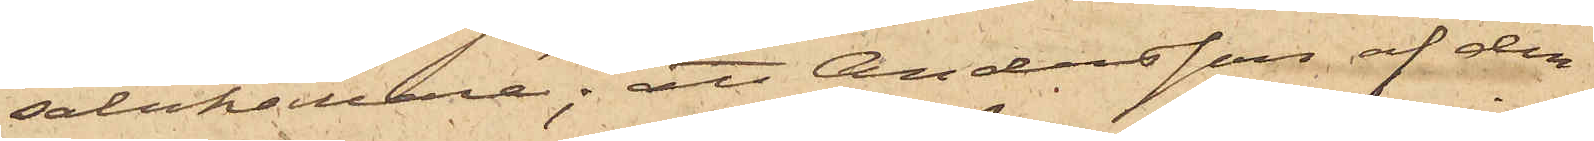salukällare; att Andersson af den¬
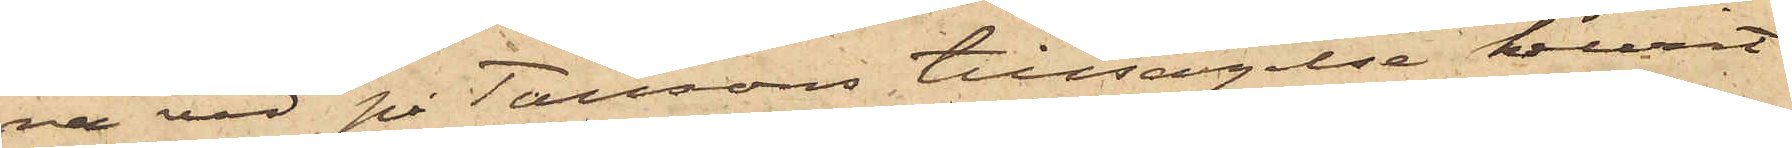na ved på Taussons tillsägelse burit
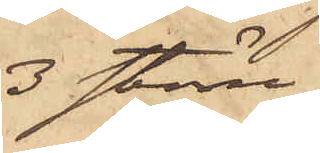3 större
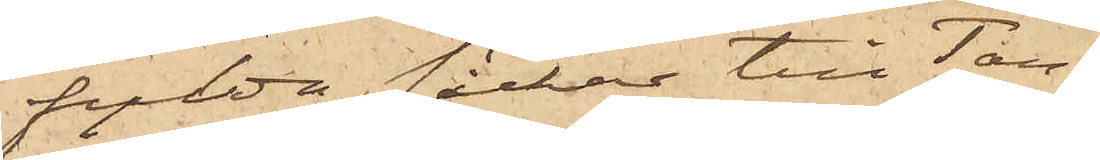fylda säckar till Tau¬
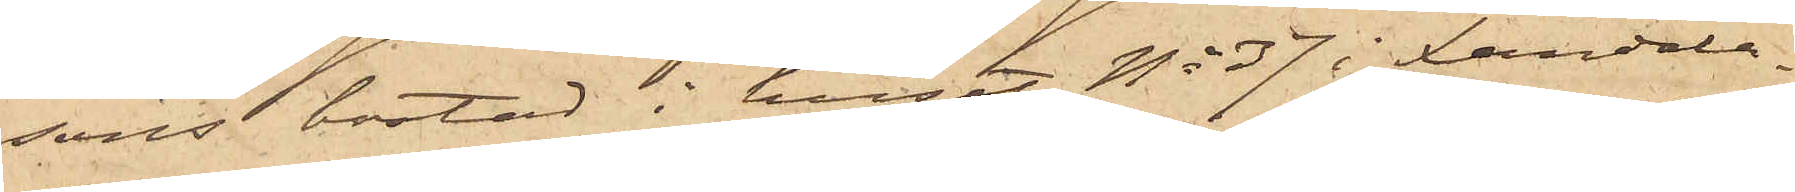ssons bostad i huset No 37 i Landala¬
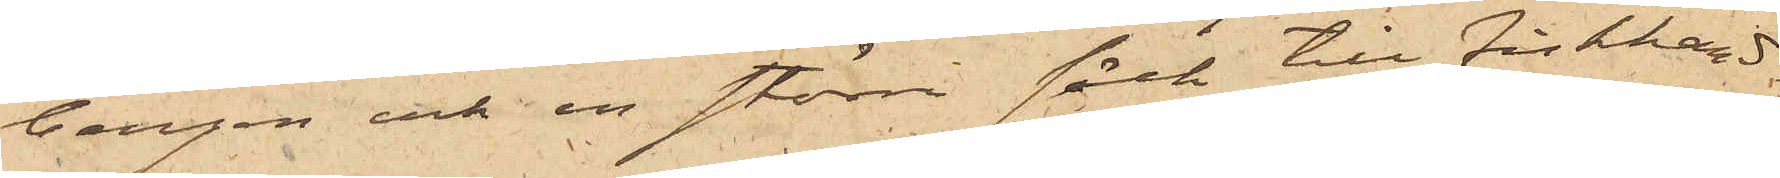bergen och en större säck till fiskhand¬
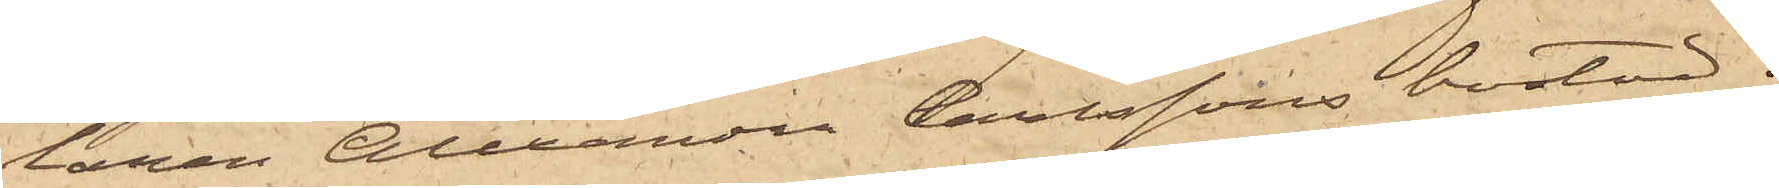laren Alexander Carlssons bostad;
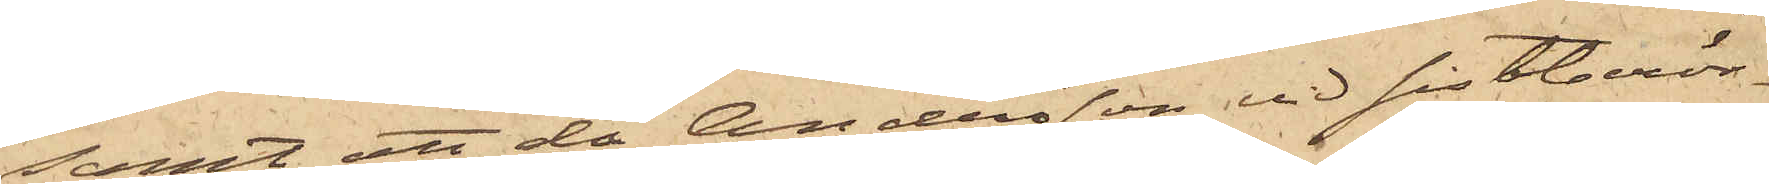samt att då Andersson vid sistberör¬
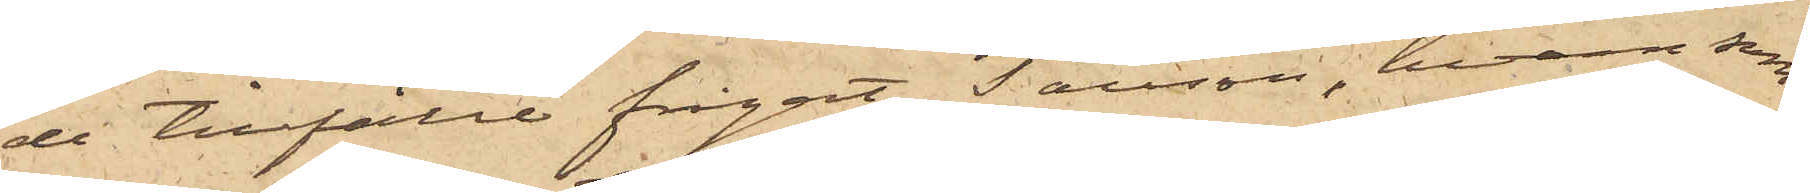de tillfälle frågat Tausson, hvem som
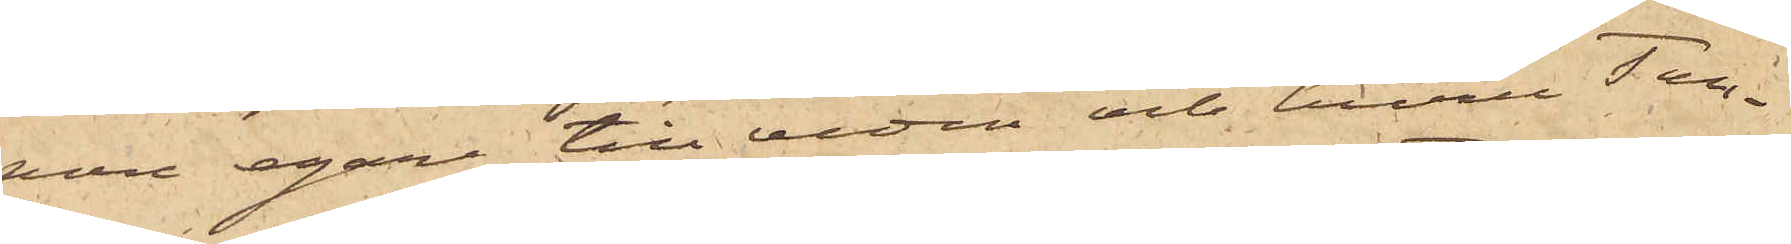vore egare till veden och huru Tau¬
